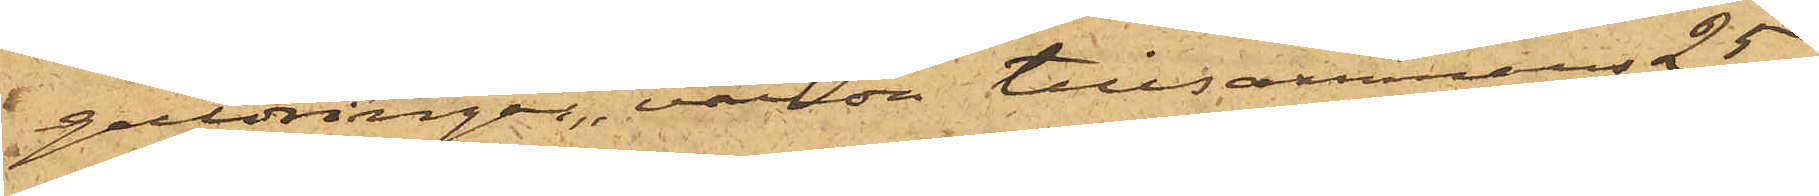guldringar, värde tillsammans 25
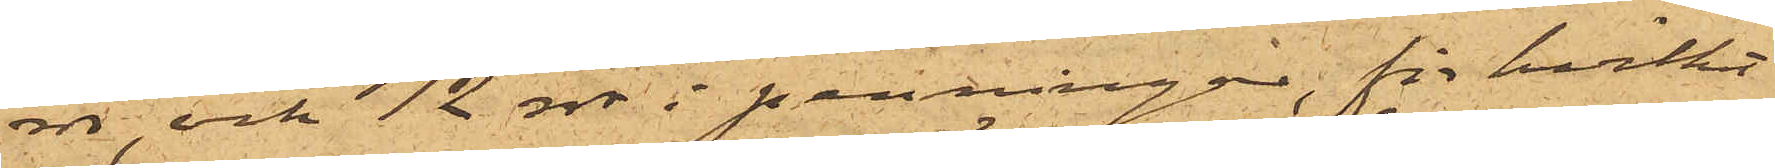rdr, och 12 rdr i penningar, för hvilket
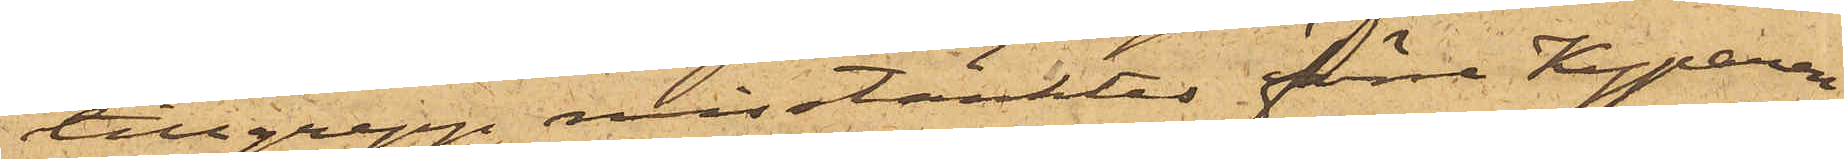tillgrepp misstänktes förre Kyparen
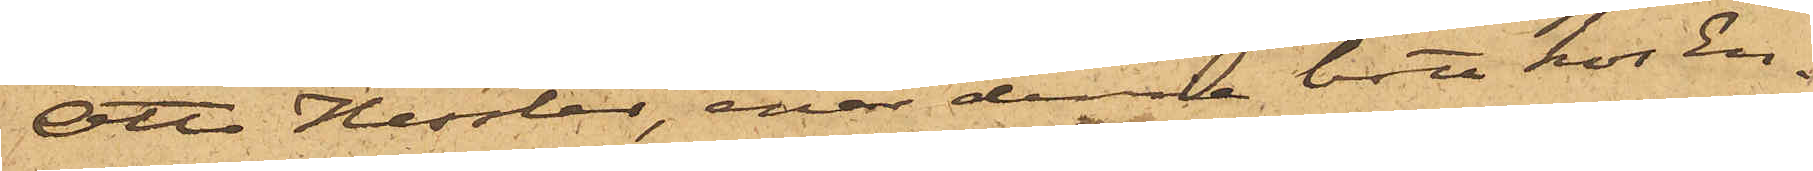Otto Hessler, enär denne bott hos En¬
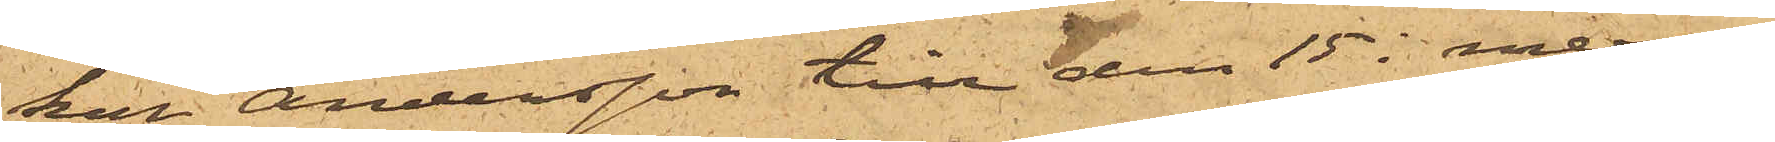kan Andersson till den 15 i mera¬
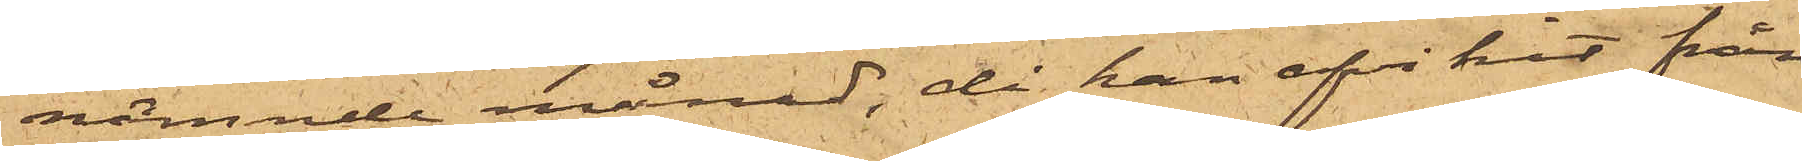nämnde månad, då han afvikit från
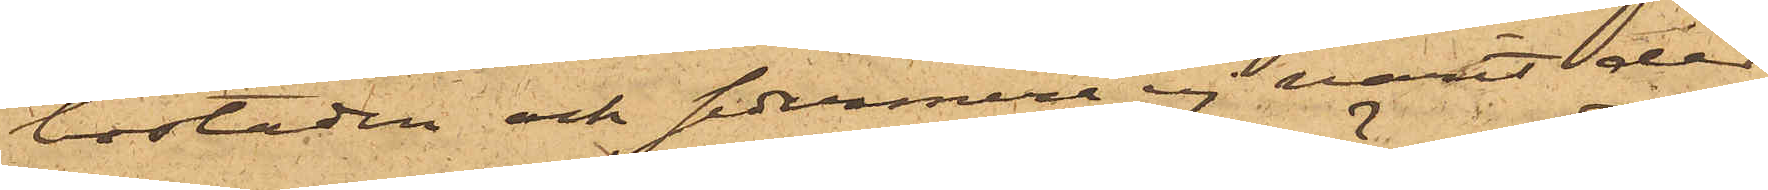bostaden och sedermera ej varit der
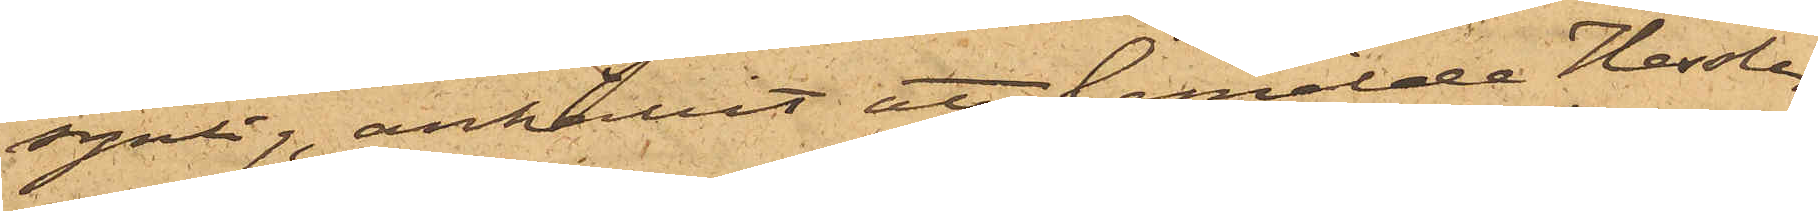synlig, anhållit att bemälde Hessler,
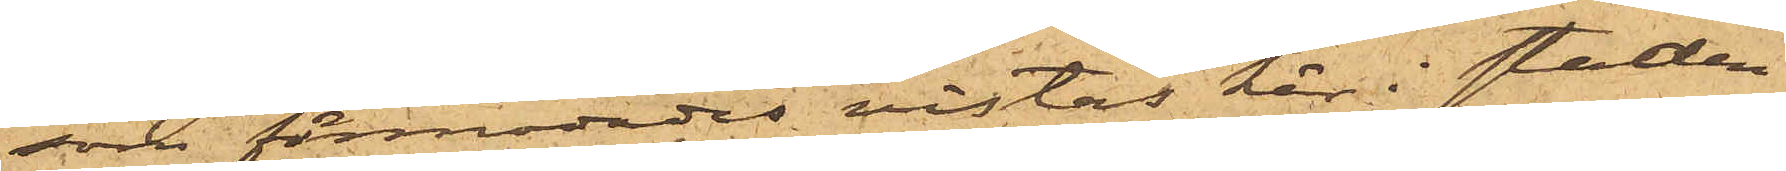som förmodades vistas här i staden,
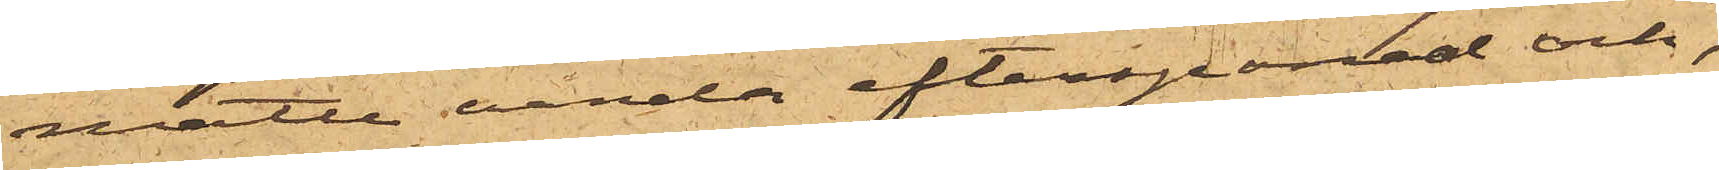måtte varda efterspanad och,
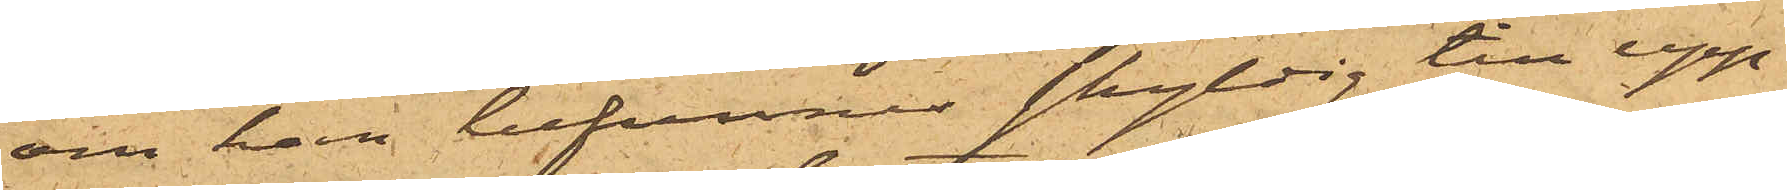om han befunnes skyldig till upp¬
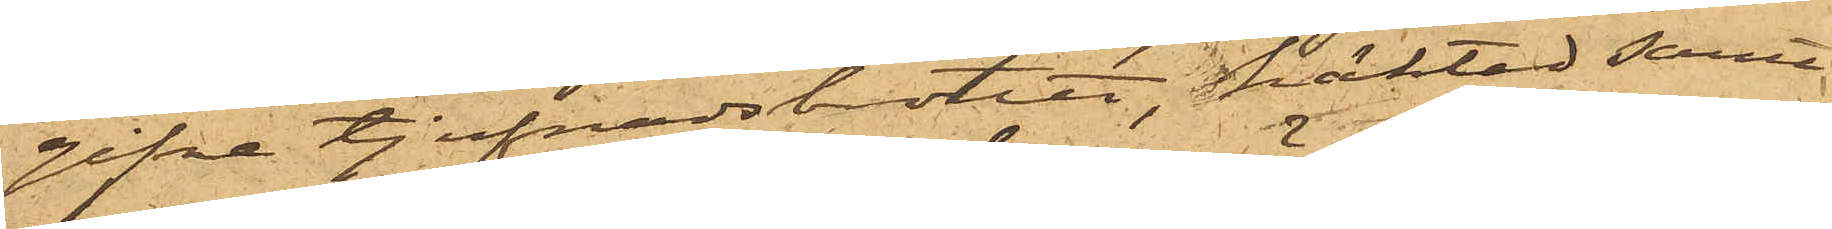gifna tjufnadsbrott, häktad samt
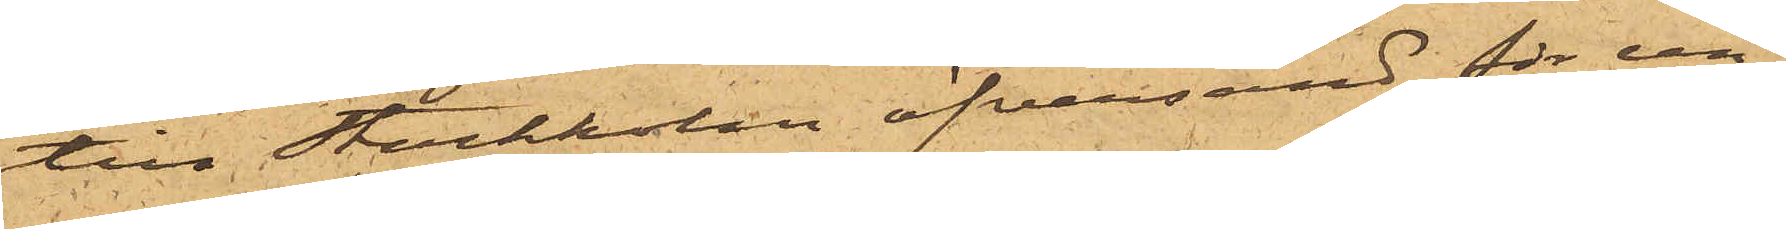till Stockholm öfversänd för un¬
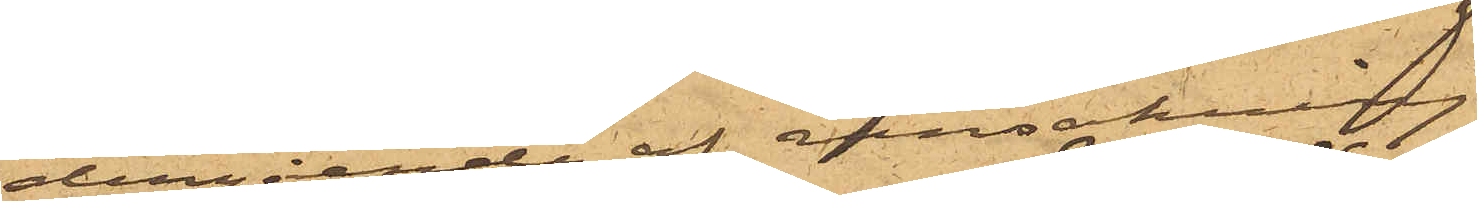dergående af ransakning.
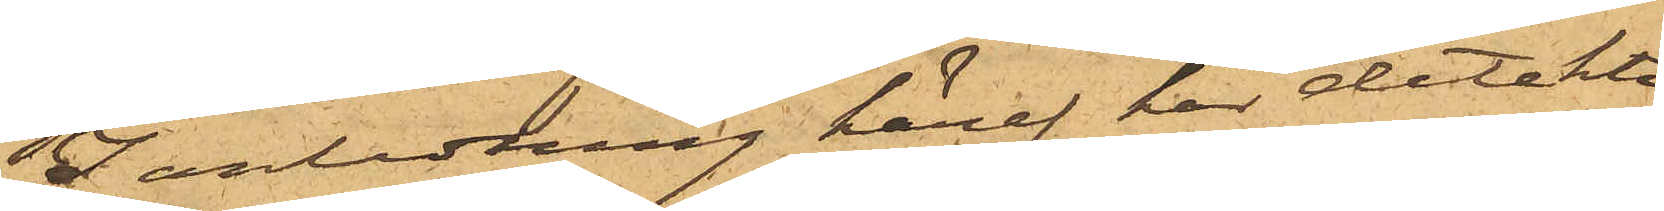I anledning häraf har detektiv¬
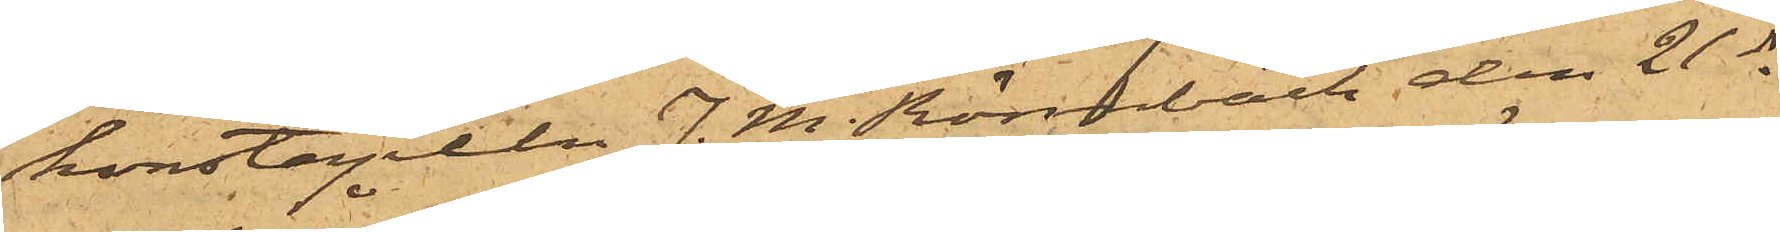konstapeln J. M. Rönnbäck den 21 ds
